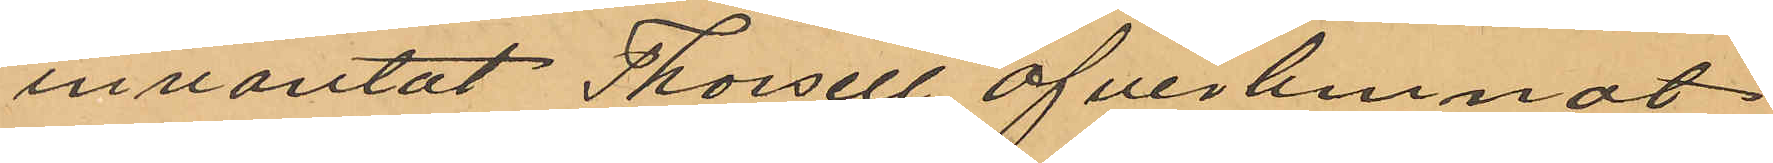inväntat Thorsell öfverlemnat
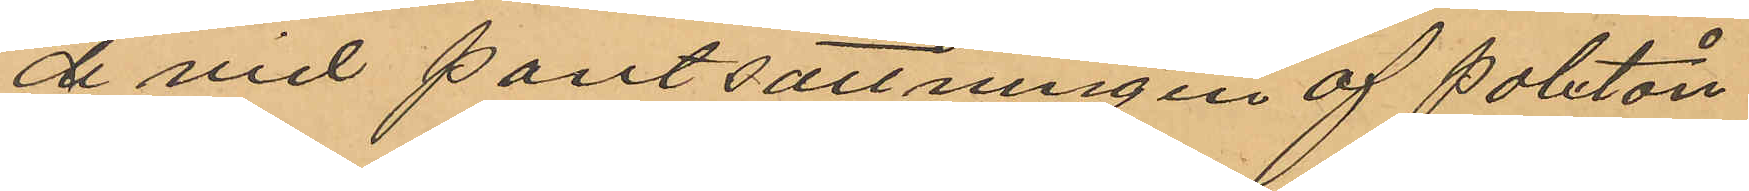de vid pantsättningen af paletån
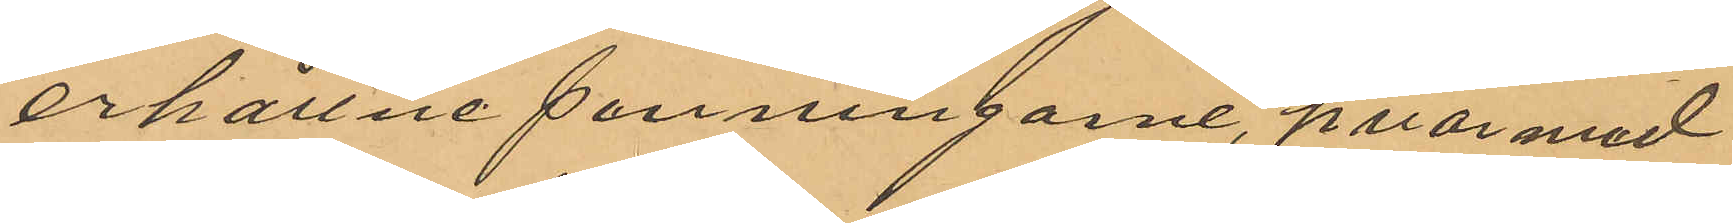erhållne penningarne, hvarmed
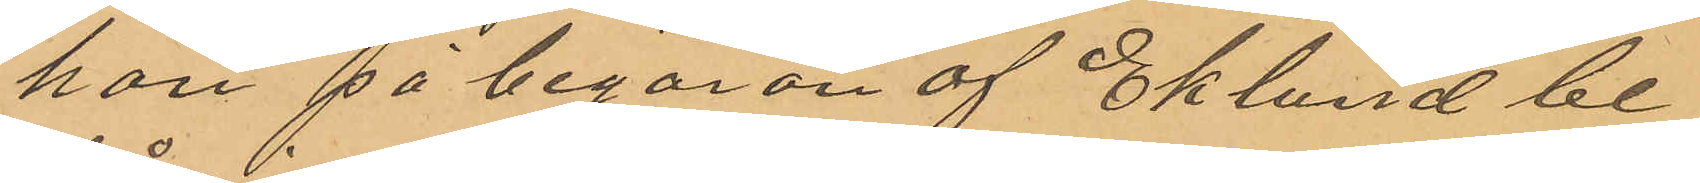han på begäran af Eklund be¬
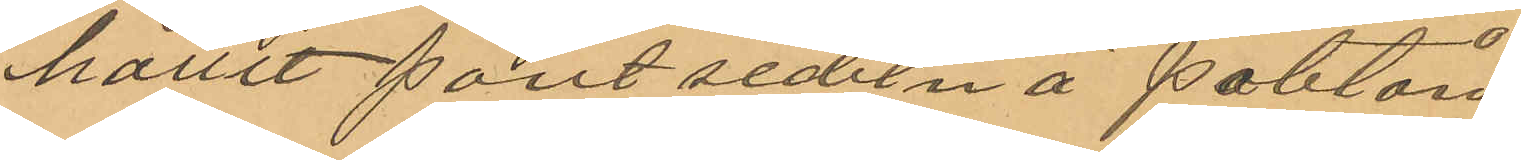hållit pantsedeln å paletån.
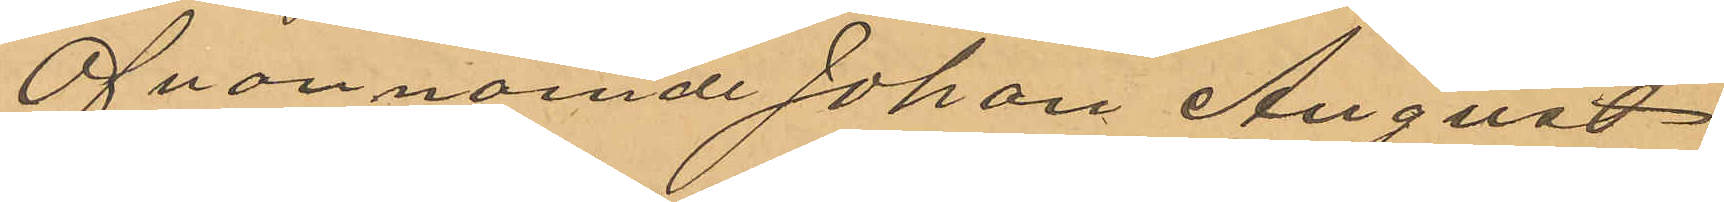Ofvannämnde Johan August
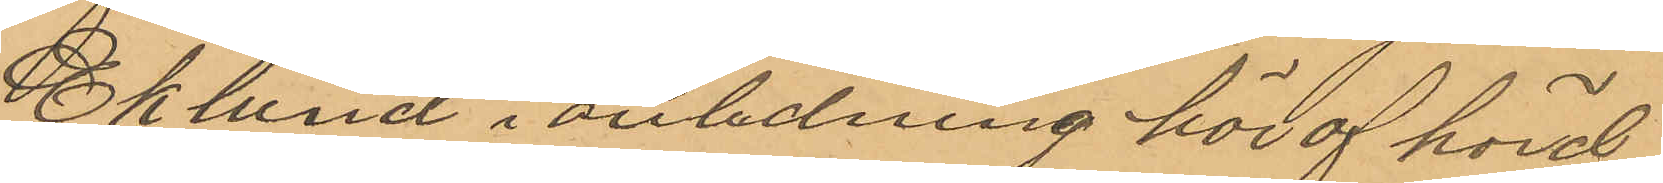Eklund i anledning häraf hörd
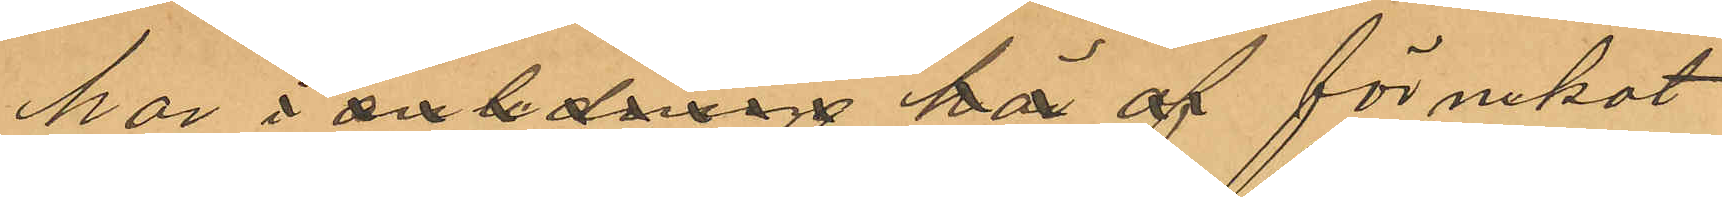har i anledning häraf förnekat
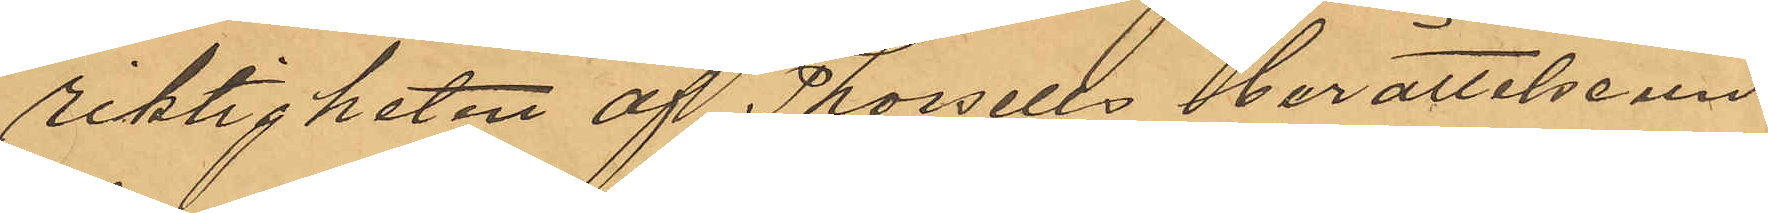riktigheten af Thorsells berättelse
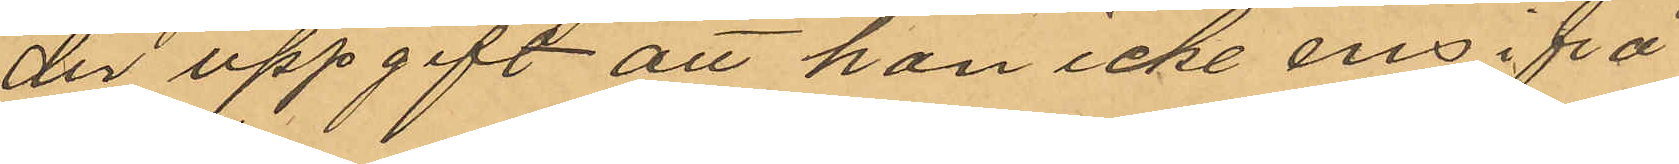der uppgift att han icke ens ifrå¬
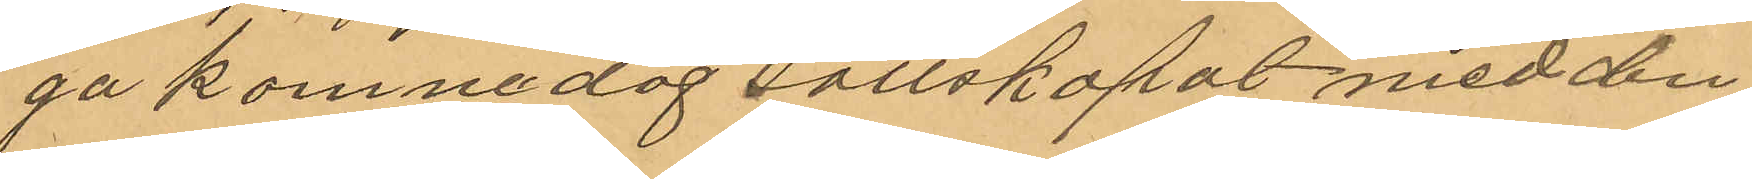gakomne dag sällskapat med den¬
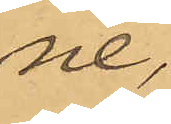ne.
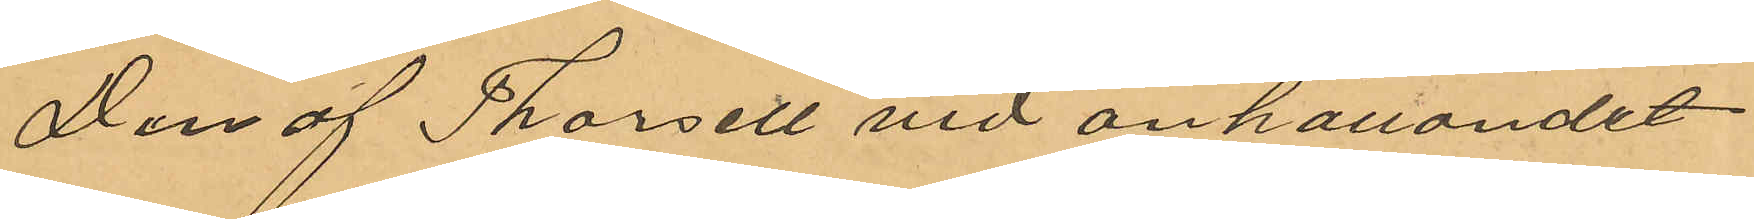Den af Thorsell vid anhållandet
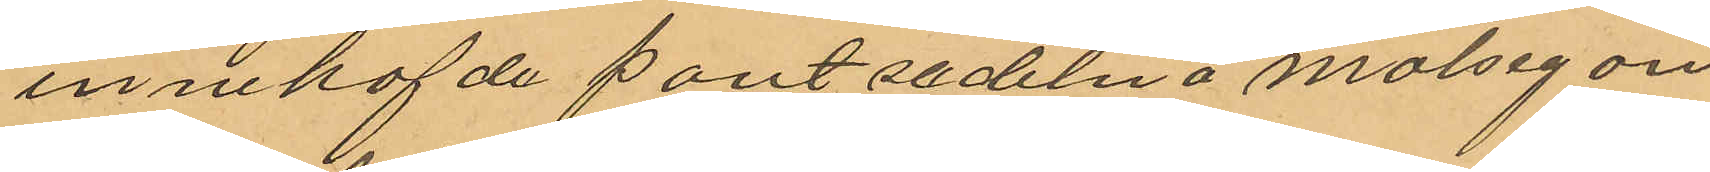innehafde pantsedeln å målsegan¬
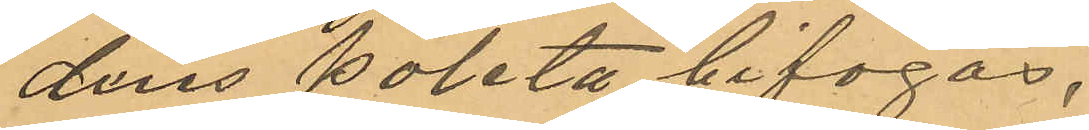dens paletå bifogas.
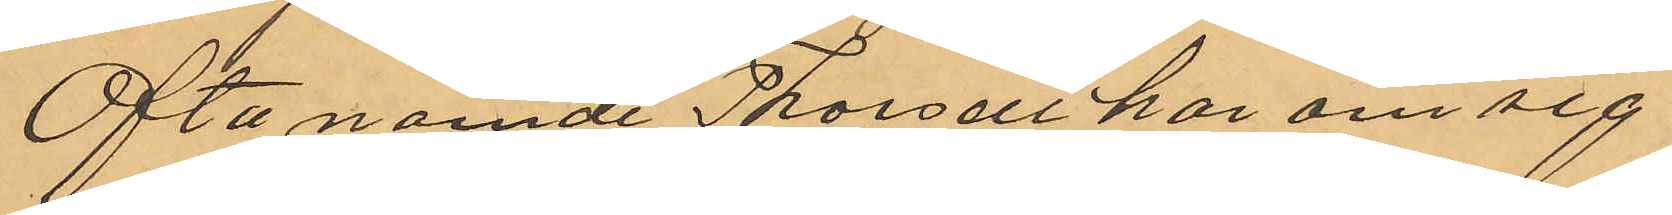Oftanämde Thorsell har om sig
